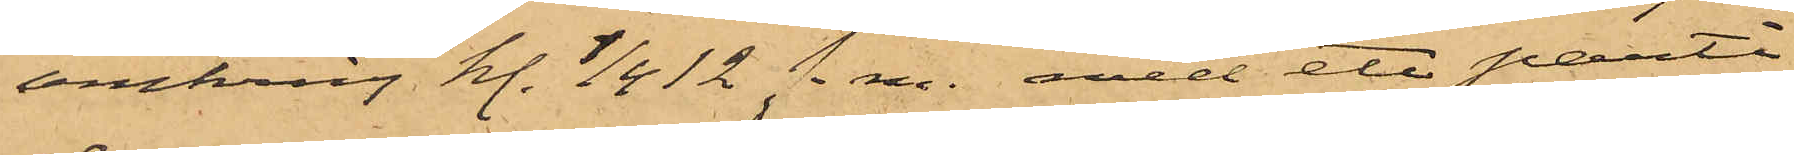omkring kl. 1/4 12 f. m. med ett parti
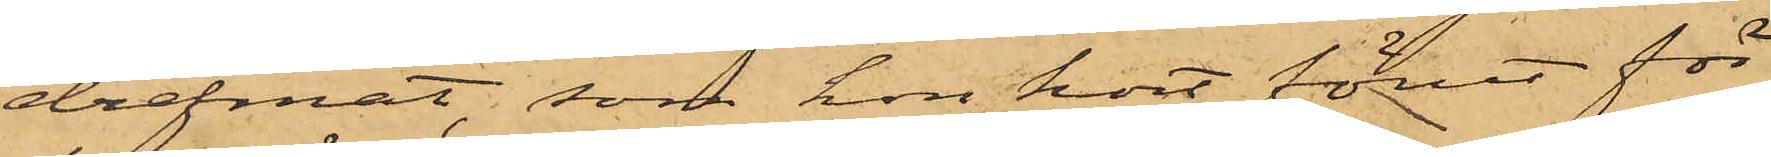drefmat, som hon kort förut för
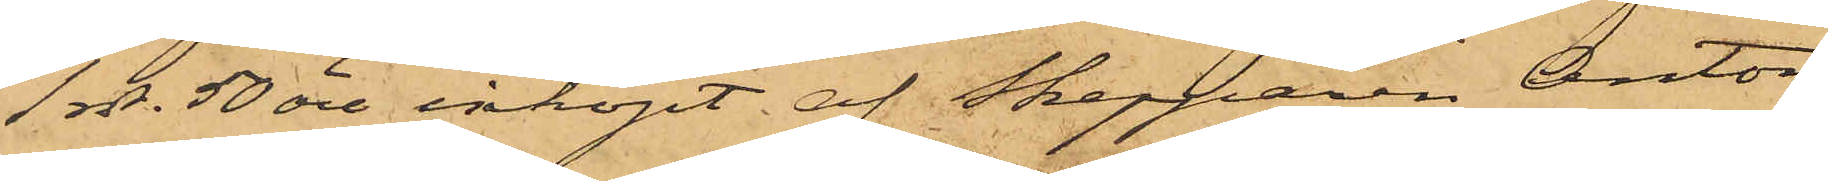1 rdr. 50 öre inköpt af Skepparen Anton
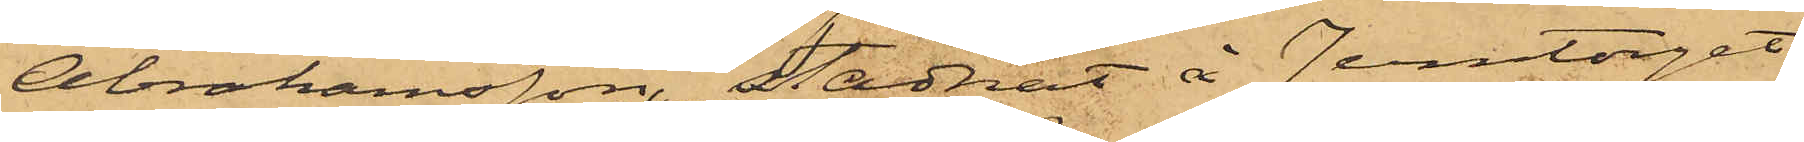Abrahamsson, stadnat å Jerntorget
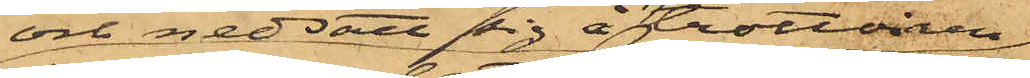och nedsatt sig å trottoiren
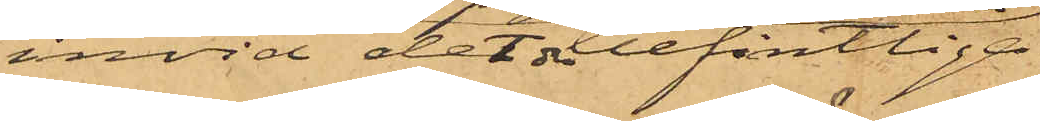invid det der befintlige
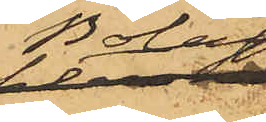Bolags¬
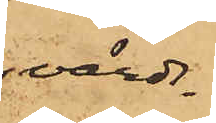värds¬
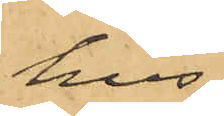hus,
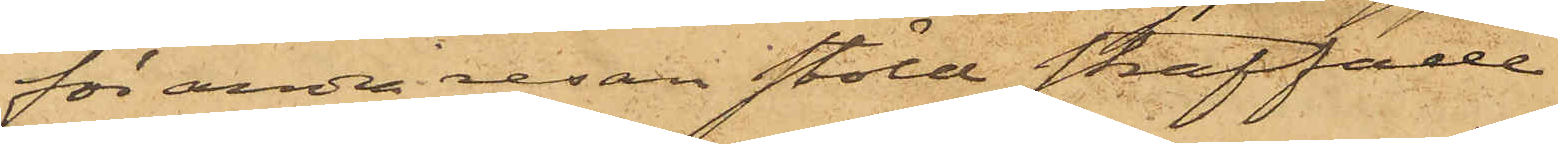för andra resan stöld straffade
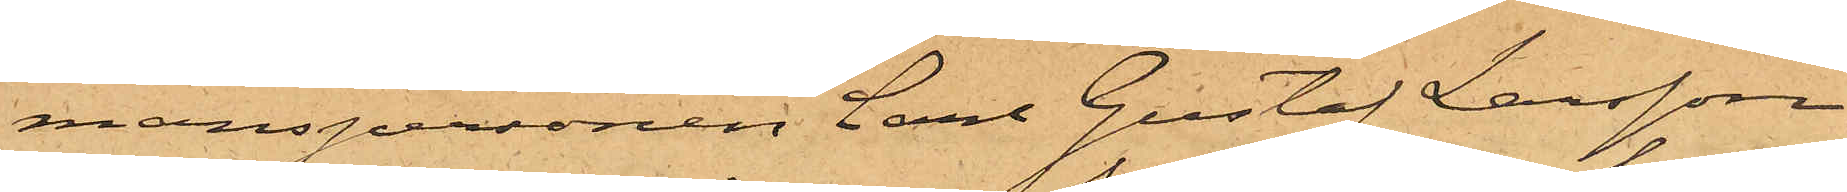manspersonen Carl Gustaf Larsson
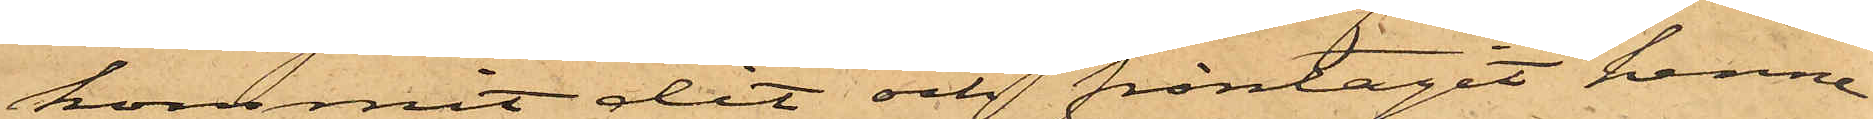kommit dit och fråntagit henne
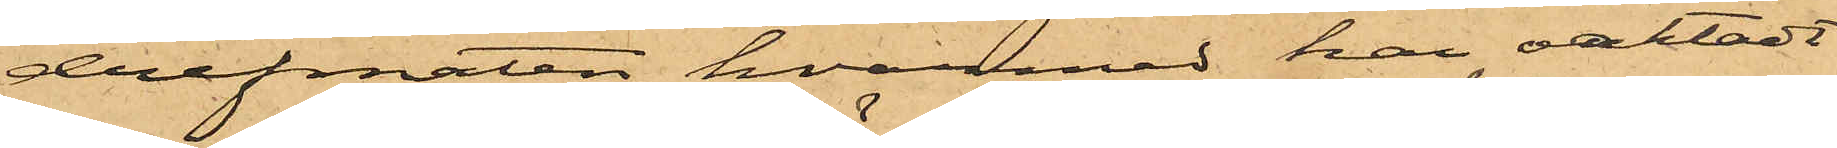drefmaten, hvarmed han oaktadt
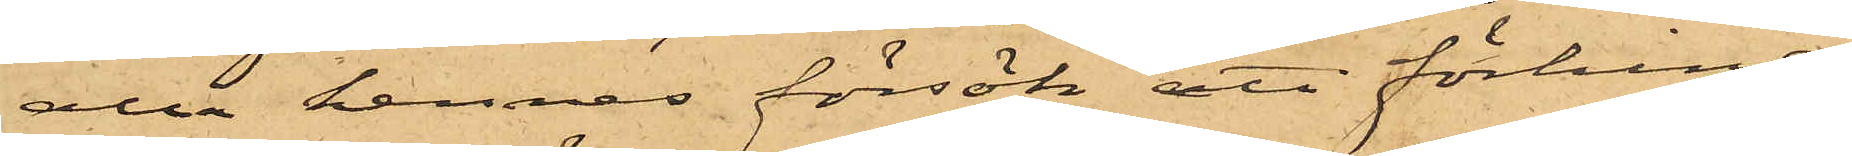alla hennes försök att förhindra
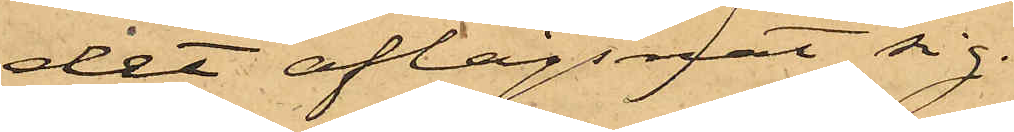det aflägsnat sig.
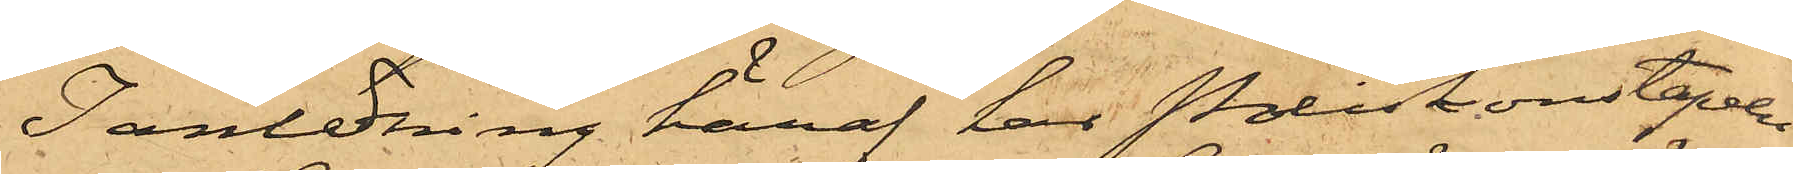I anledning häraf har Poliskonstapeln
